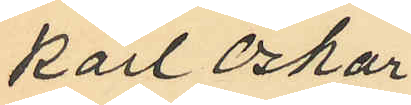Karl Oskar
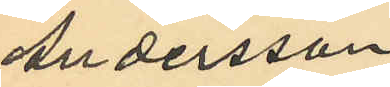Andersson
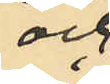och
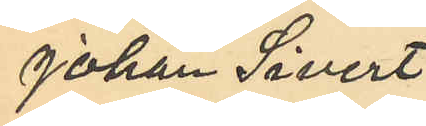Johan Sivert
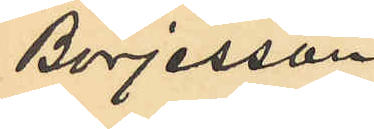Börjesson.
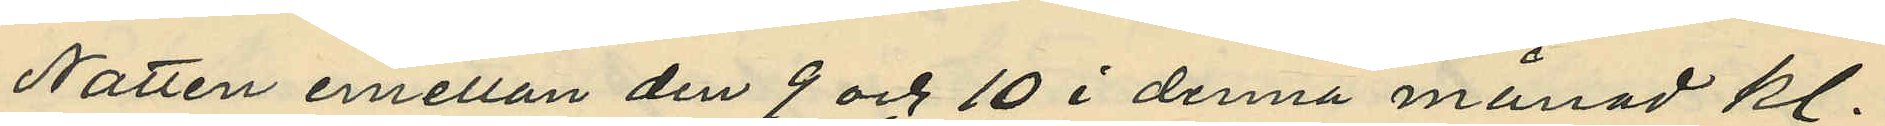Natten emellan den 9 och 10 i denna månad kl.
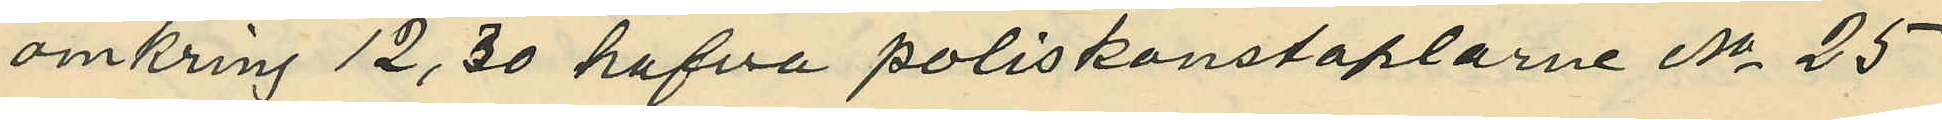omkring 12,30 hafva poliskonstaplarne No 25
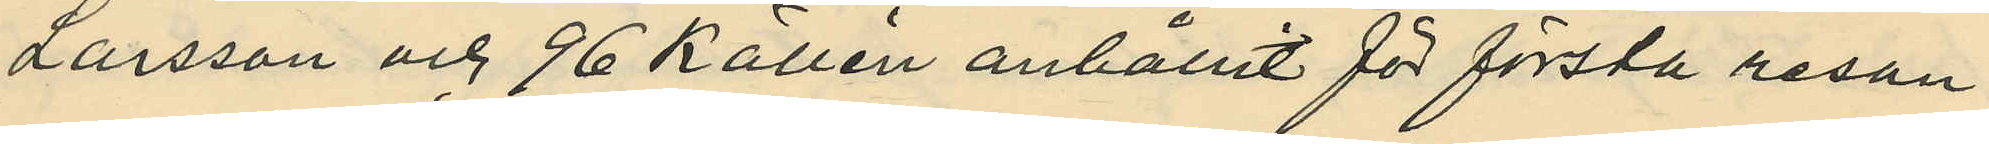Larsson och 96 Källén anhållit för första resan
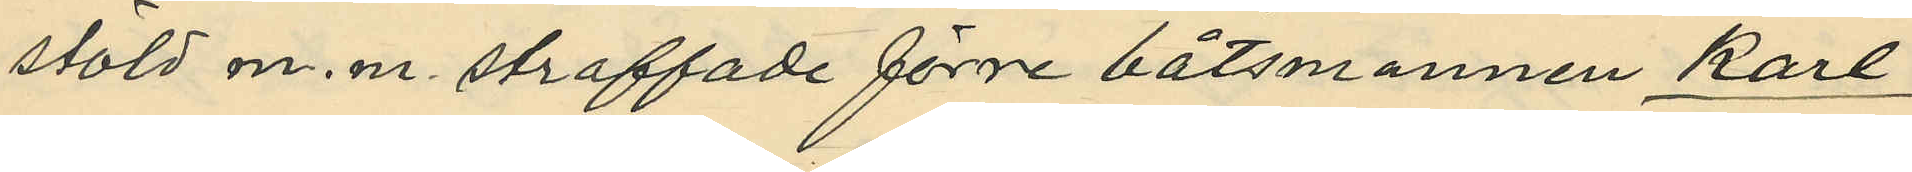stöld m.m. straffade förre båtsmannen Karl
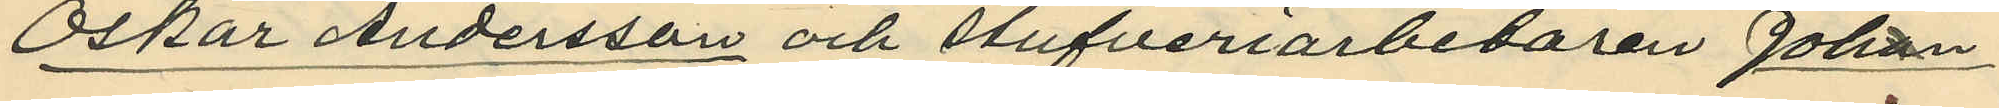Oskar Andersson och stufveriarbetaren Johan
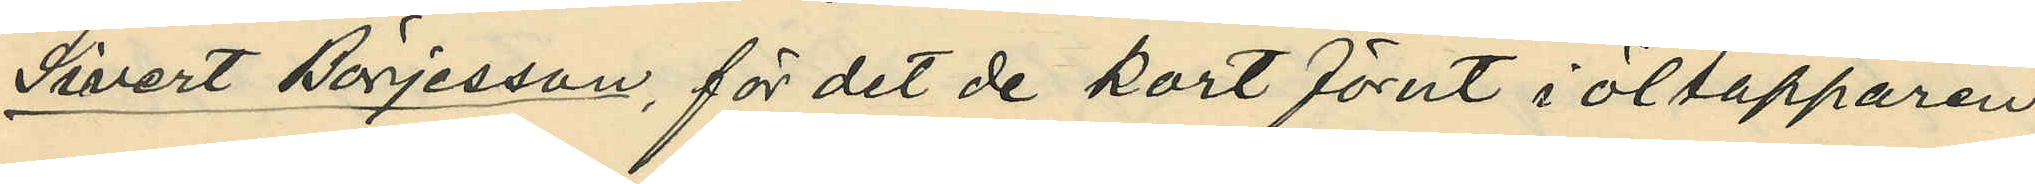Sivert Börjesson, för det de kort förut i öltapparen
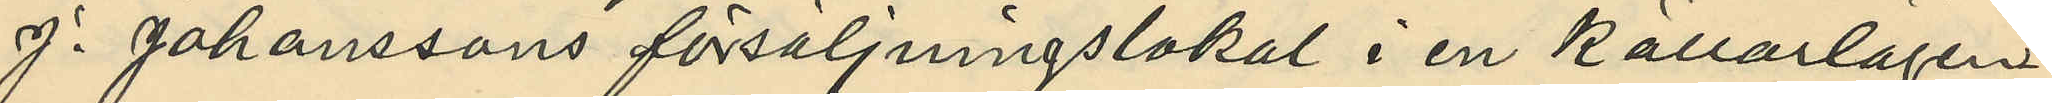J. Johanssons försäljningslokal i en Källarlägen¬
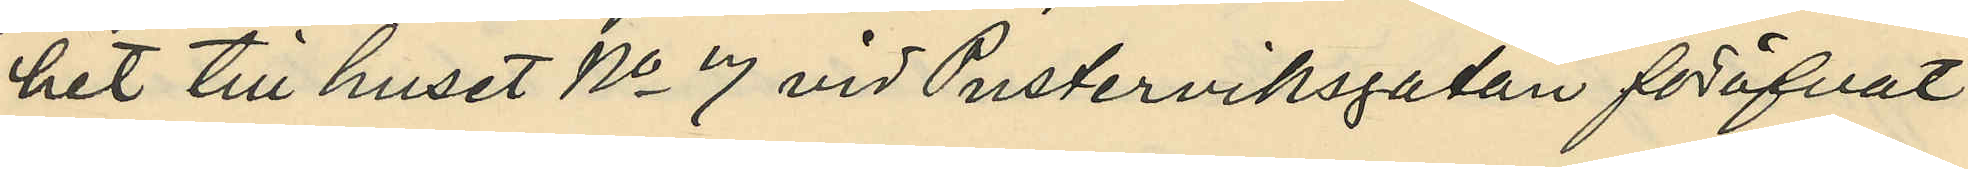het till huset No 7 vid Pusterviksgatan föröfvat
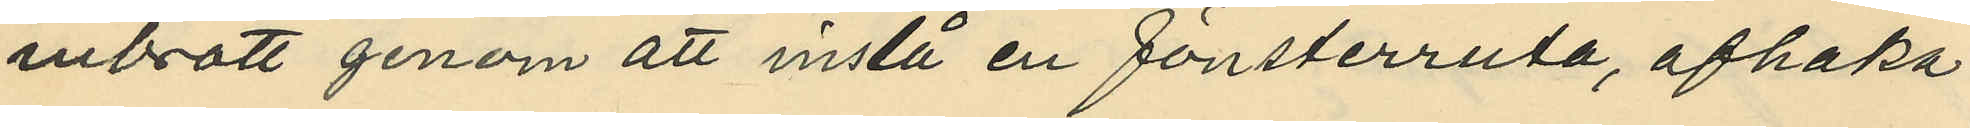inbrott genom att inslå en fönsterruta, afhaka
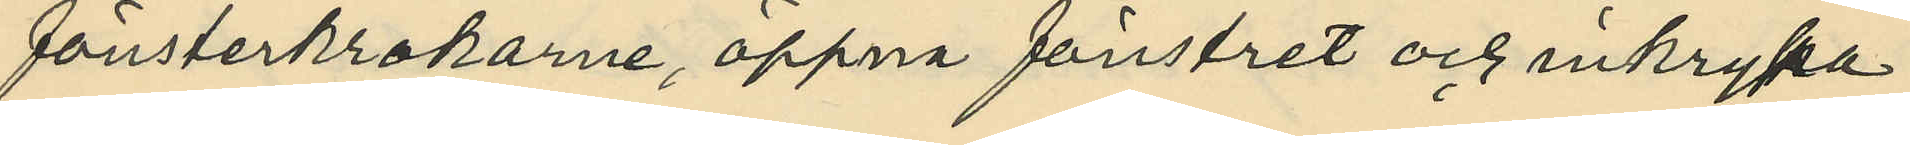fönsterkrokarne, öppna fönstret och inkrypa
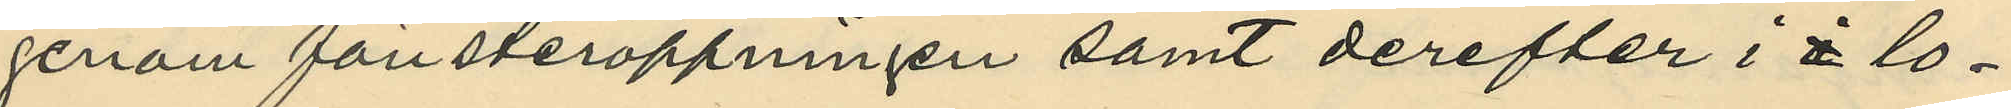genom fönsteröppningen samt derefter i lo¬
